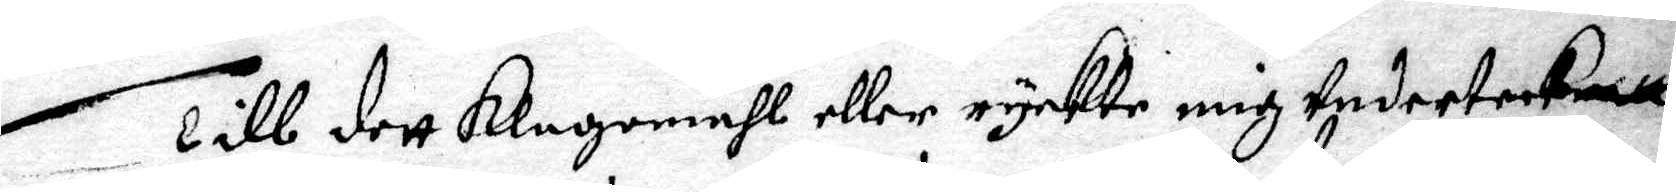Till dett klagomåhl eller ryckte mig undertecknatt
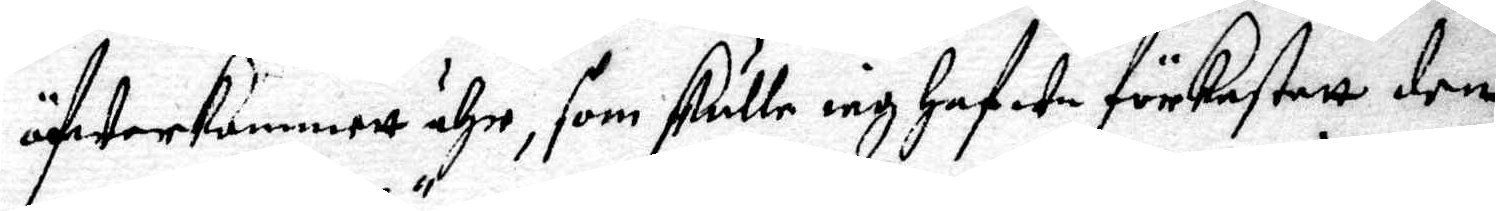öfwerkommett ähr, som skulle iag hafwa förkastatt den
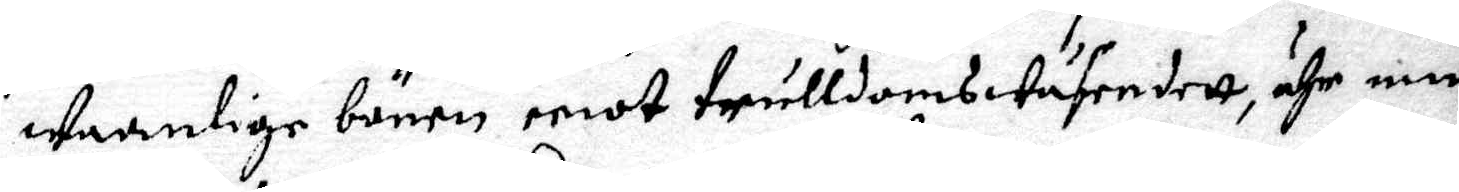waanlige bönen emot trulldomswäsendett, ähr min
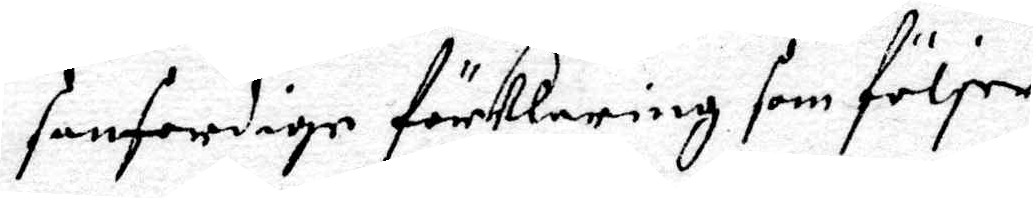sanferdige förklaring som följer.
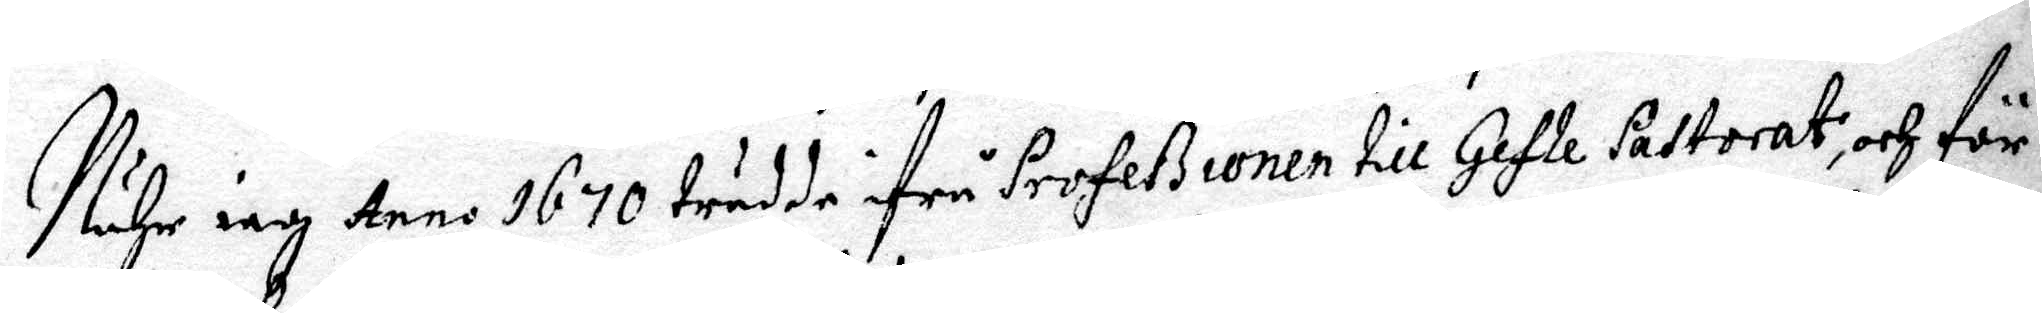Nähr iag Anno 1670 trädde ifrå Profeßionen till Gefle Pastorat, och för¬
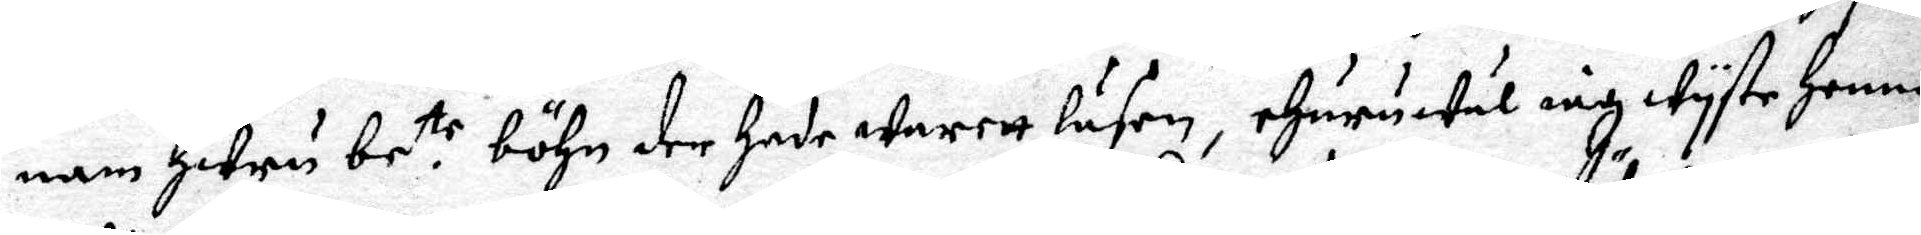nam huru be.tr böhn der hade warett läsen, ehuruwäl iag wyste henne
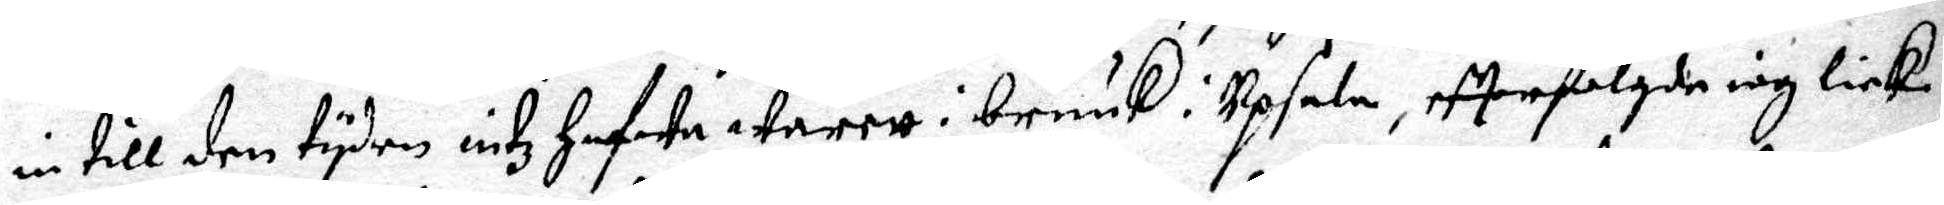in till den tyden intz hafwa warett i bruuk i Upsala, eftterfölgde iag lick¬
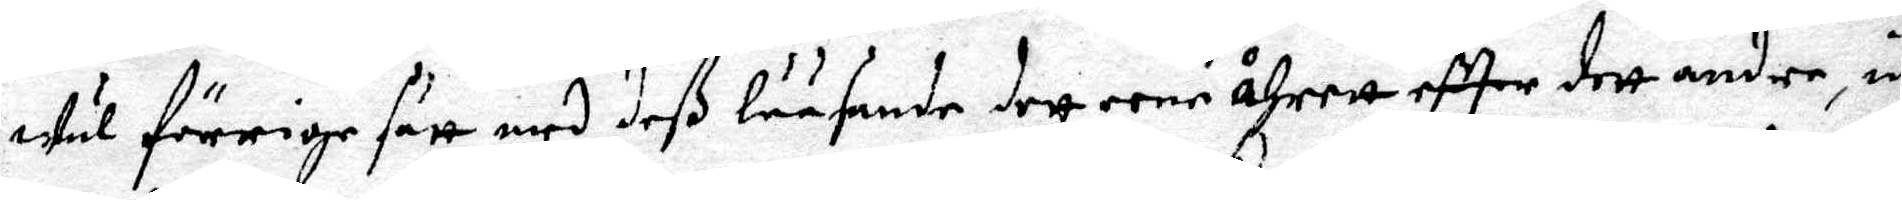wäl förrige sätt med deß lääsande dett eene åhrett eftter dett andre, in¬
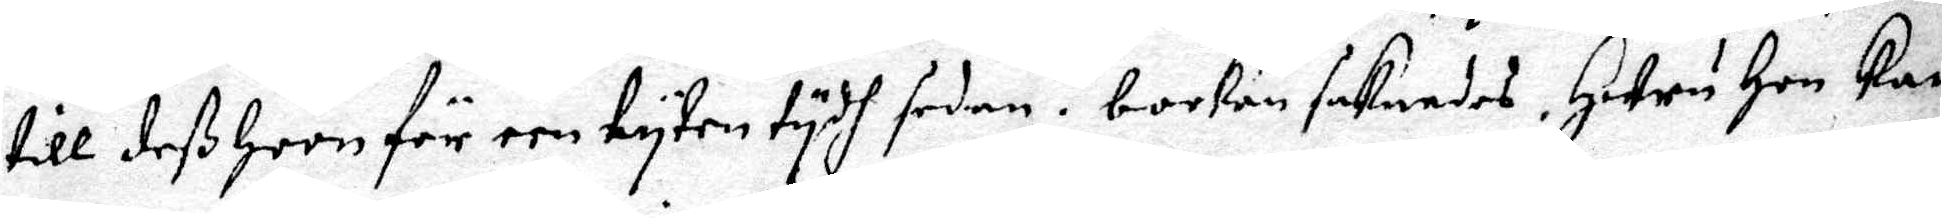till deß hoon för een lyten tydh sedan i bocken saknades, huru hon kan
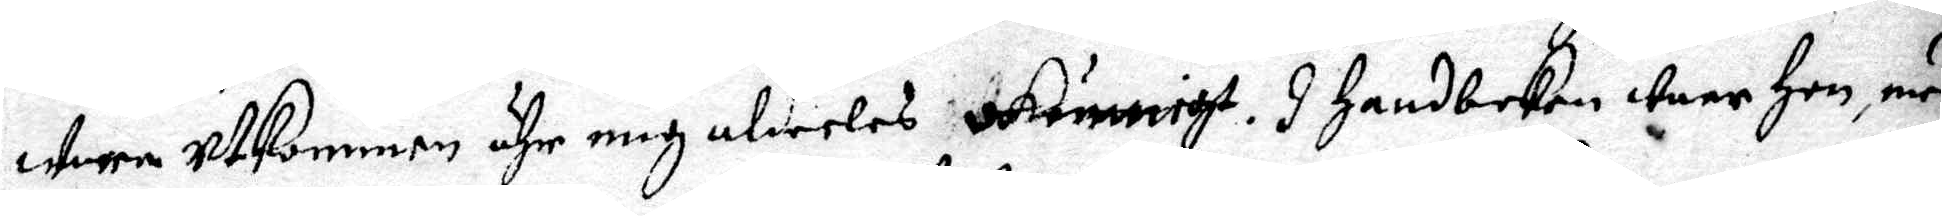wara utkommen ähr mig aldeeles okunnigt. I handboken war hon, med
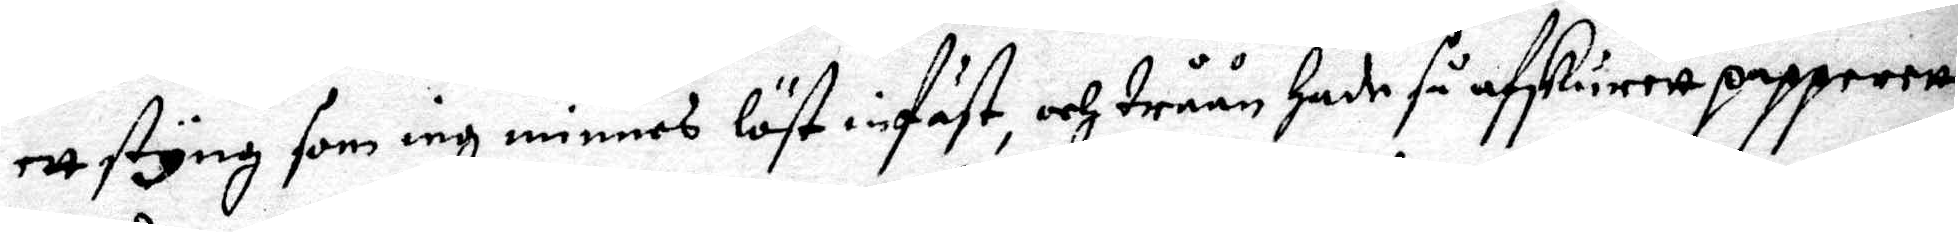ett styng som iag minnes löst infast, och tråån hade så atskurett papperett,
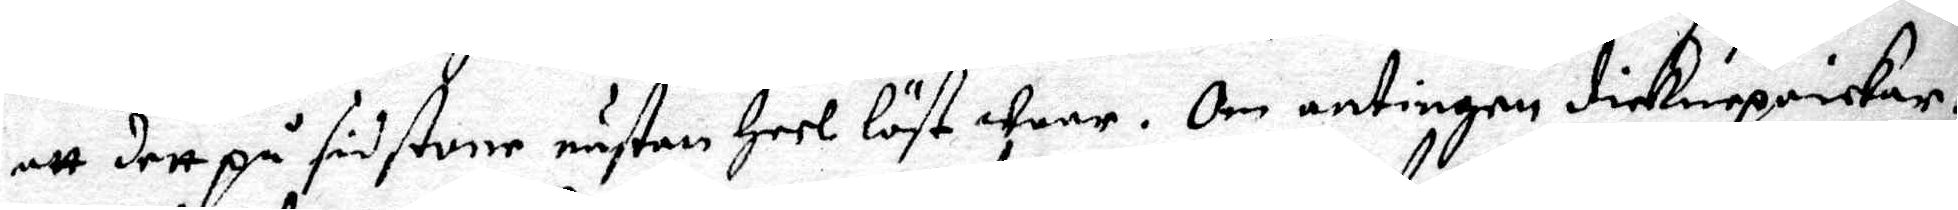att dett på sidstone nästan heel löst ware. Om antingen dieknepoickar¬
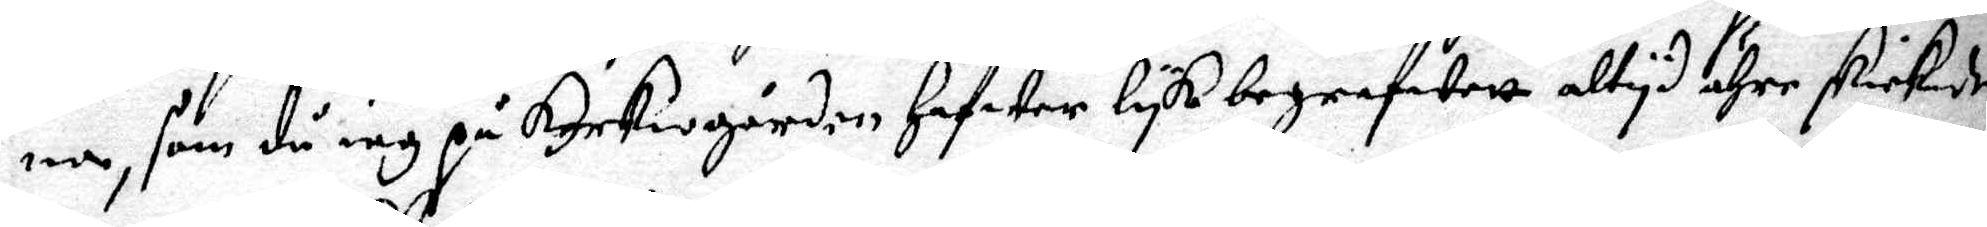na, som då iag på kyrkogården hafwer lyk begrafwett, altyd ähre skickade
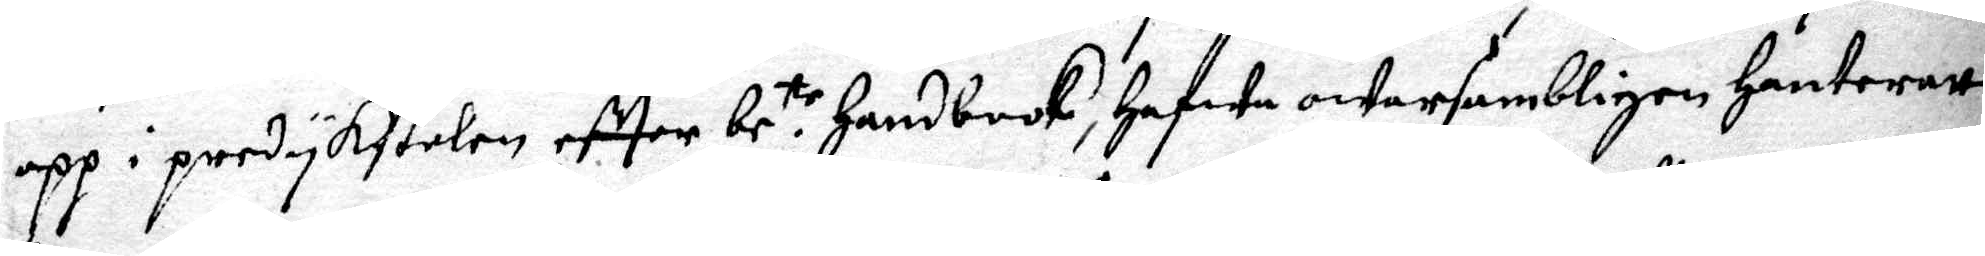upp i predykstolen eftter be.tr handbook, hafwa owarsambligen hanteratt
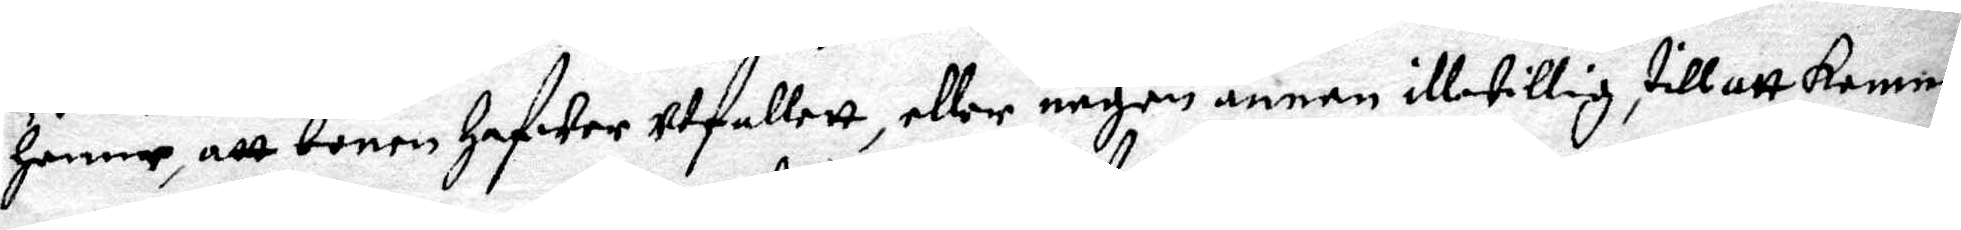henne, att bönen hafwer utfallett, eller någon annan ilwillig till att komma
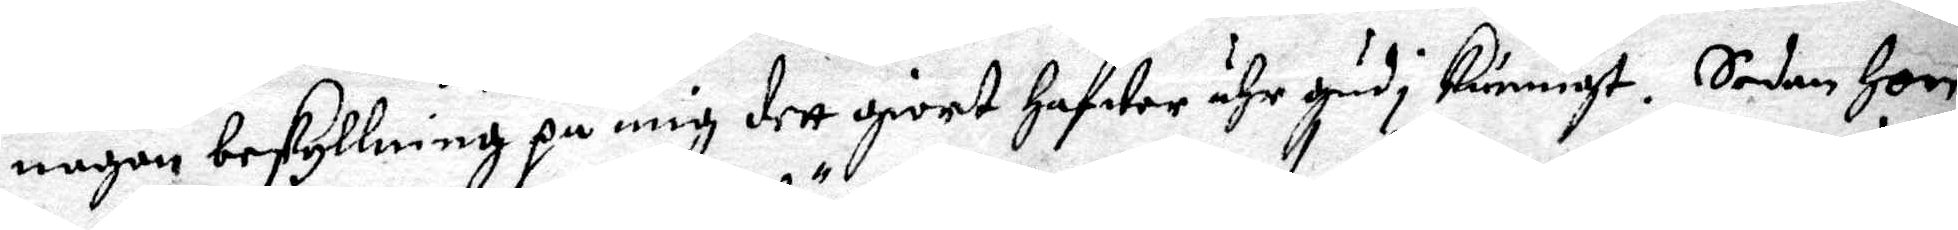någon beskyllning på mig dett givet hafwer ähr Gudi kunnigt. Sedan hon
